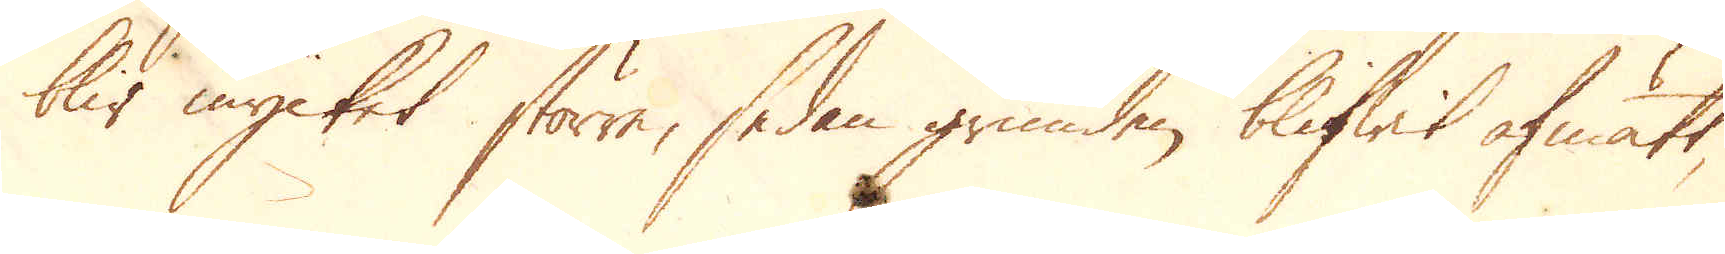blir mycket större, sedan grunden blifwit afmatt,
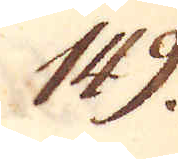149.
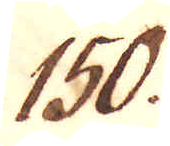150.
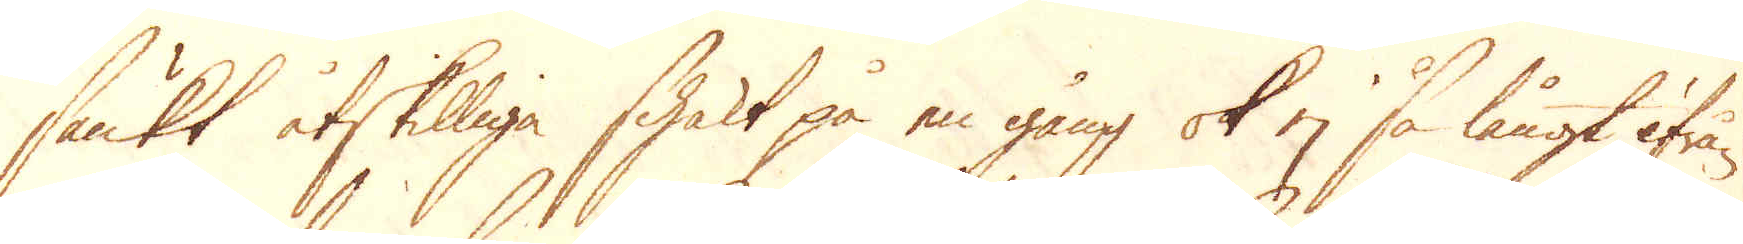sänkt åtskilliga schakt på en gång ok ej så långt ifrån
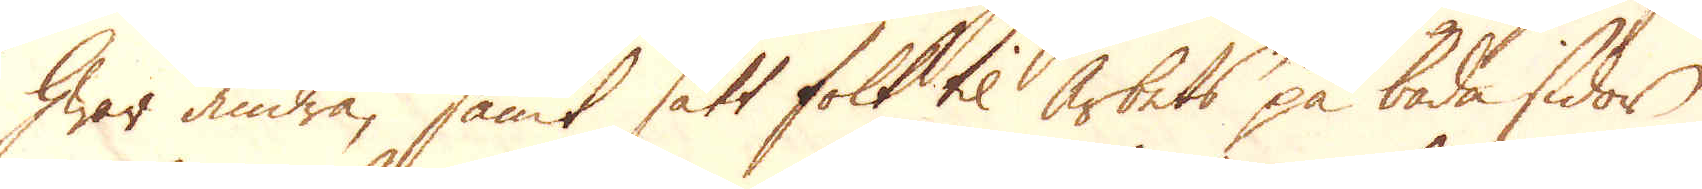hwar andra, samt satt folk til arbets på båda sidor
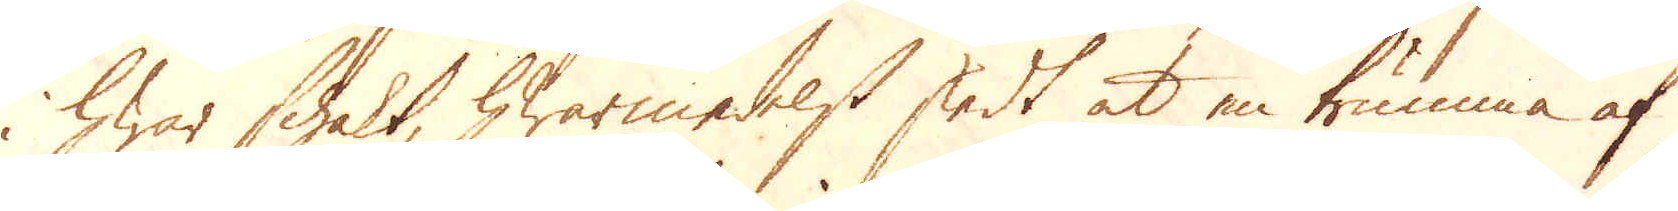i hwar schakt, hwarmedelst skedt at en trumma af
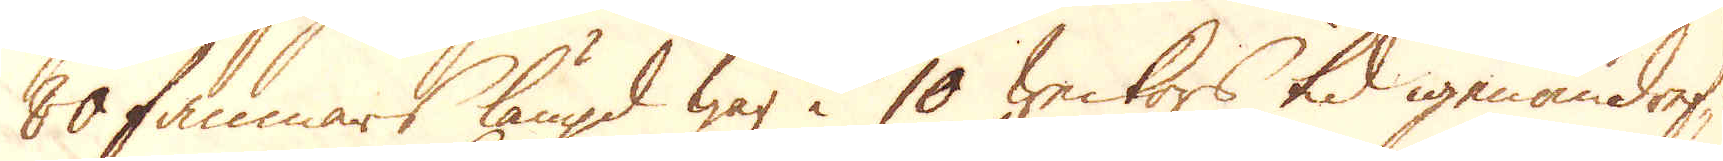60 famnars längd war i 10 weckors tid igenom dref-
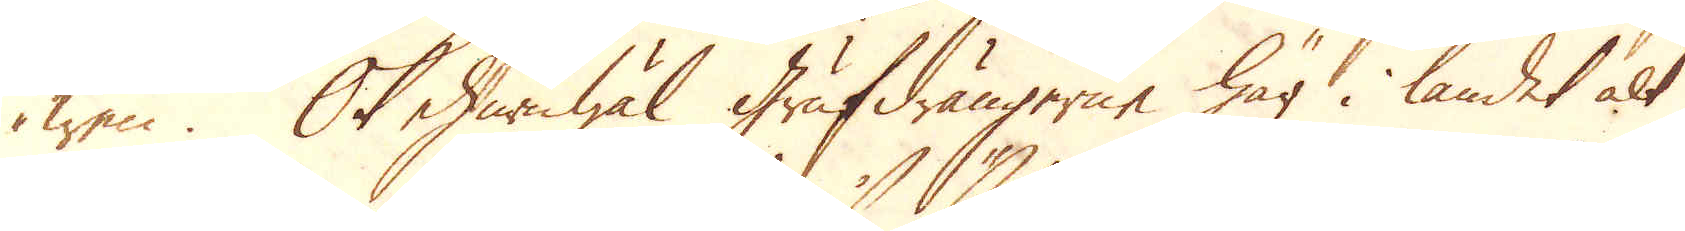wen. Ok ehuruwäl Grufdrängerne här i landet alt
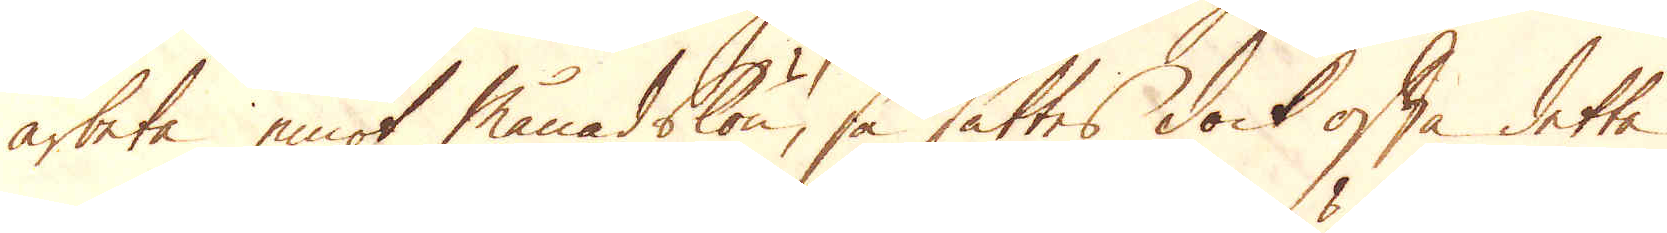arbeta emot månadslön, så sättes dock ofta detta
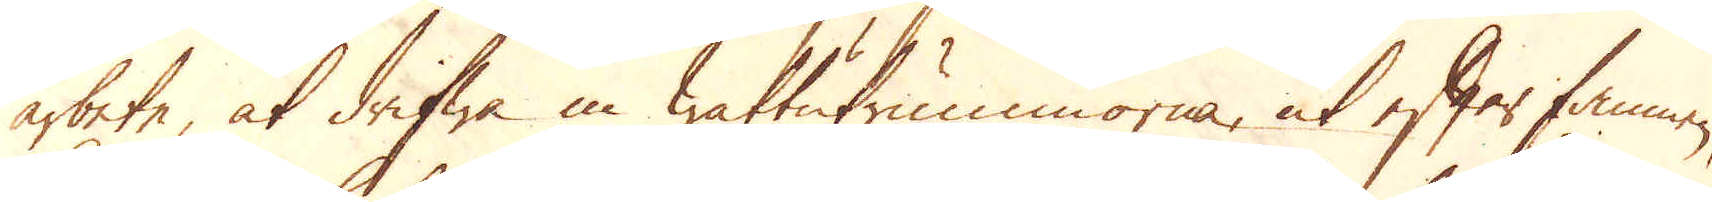arbete, at drifwa in wattutrummorna, ut efter famnen,
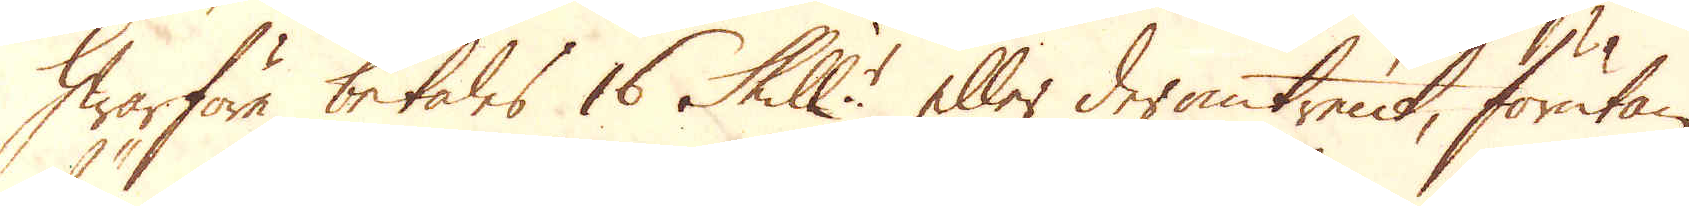Hwarföre betales 16 Skill:r eller deromtrent, förutan
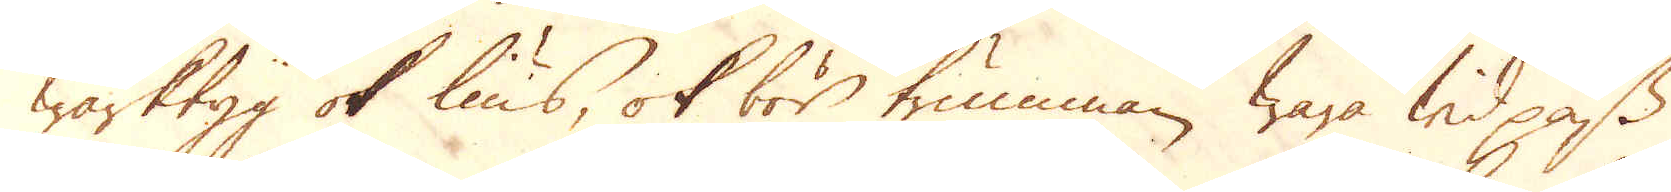wärktyg ok lius, ok bör trumman wara wid pass
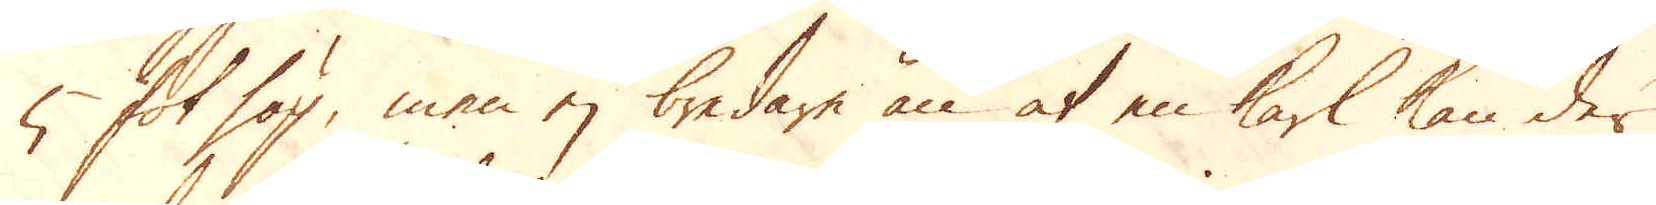5 fot hög, men ej bredare än at en karl kan der
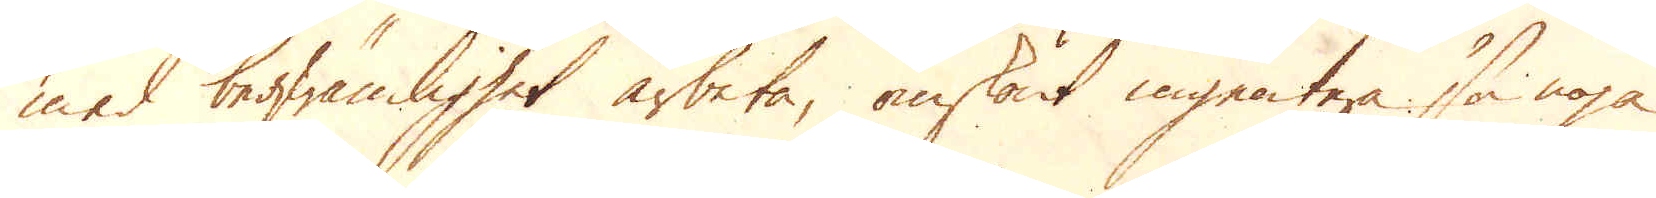med beqwämlighet arbeta, omskönt ingentera så noga
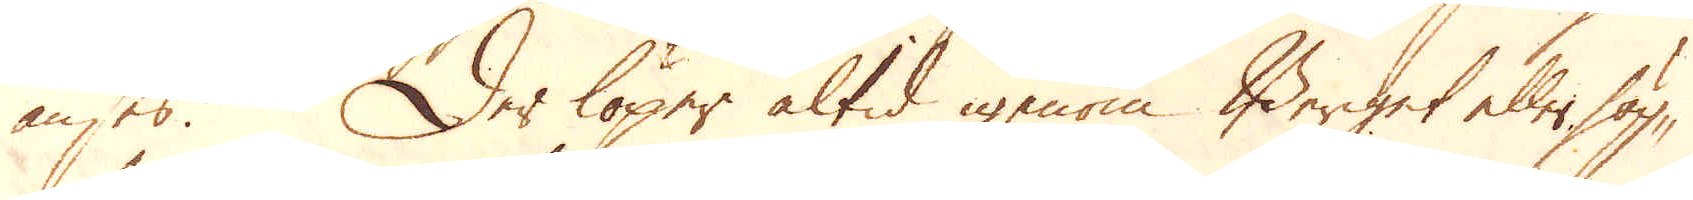anses. Der löper altid igenom Berget eller hög-
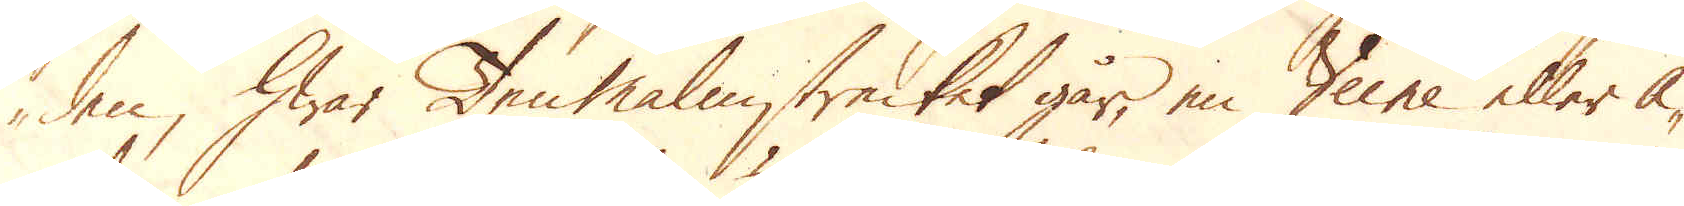den, hwar Tenmalmstrecket går, en Veine eller å-
